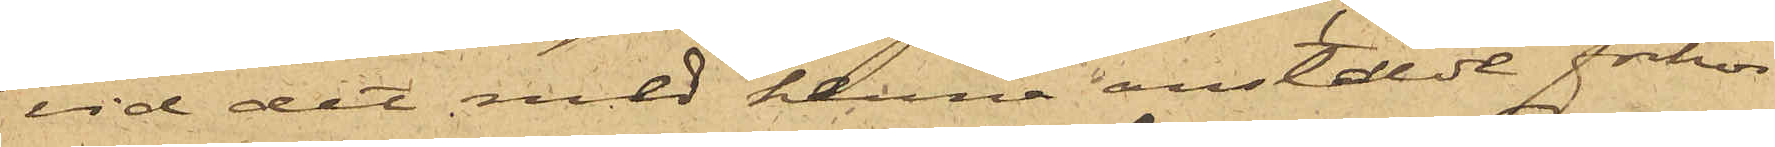vid det med henne anstälde förhör
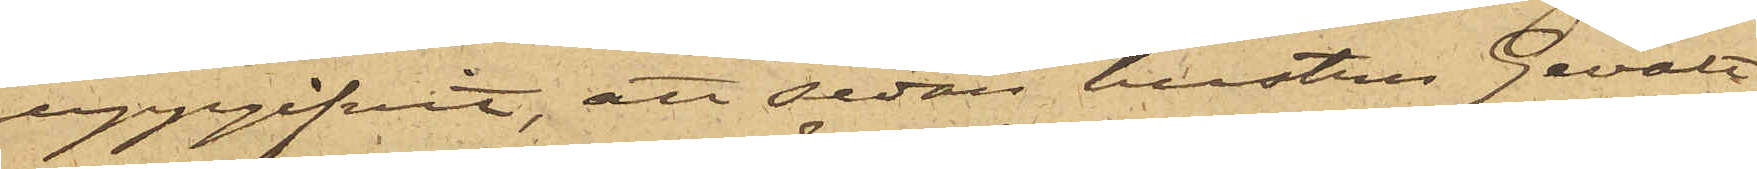uppgifvit, att sedan hustru Gevalt
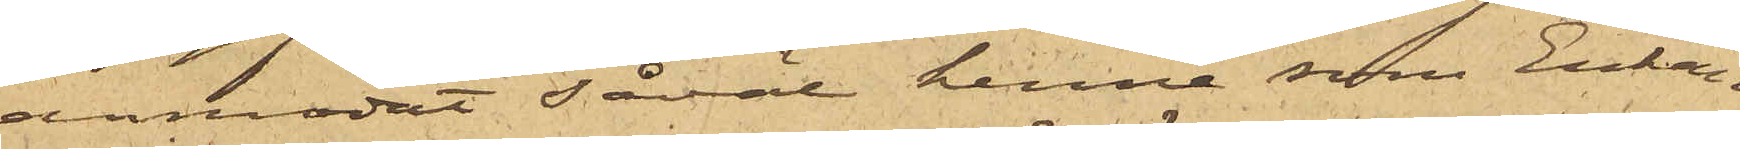anmodat såväl henne som Enkan
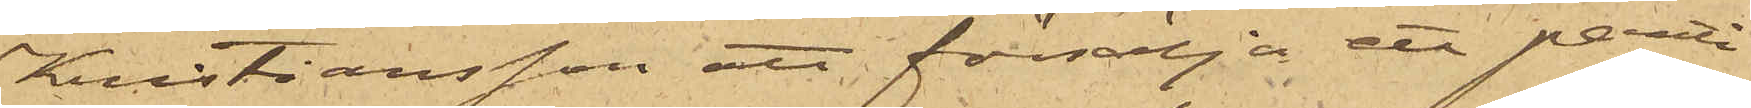Kristiansson att försälja ett parti
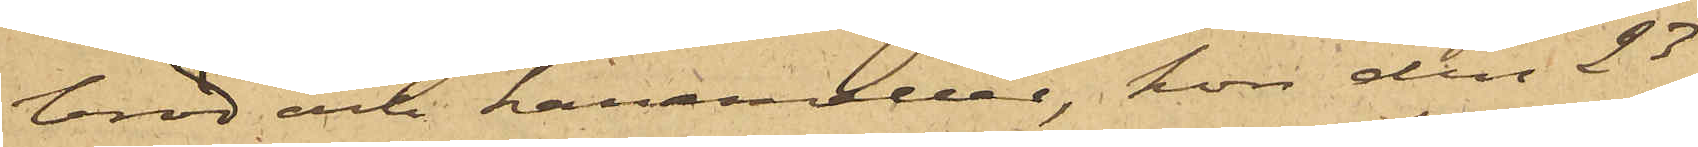bröd och karameller, hon den 23
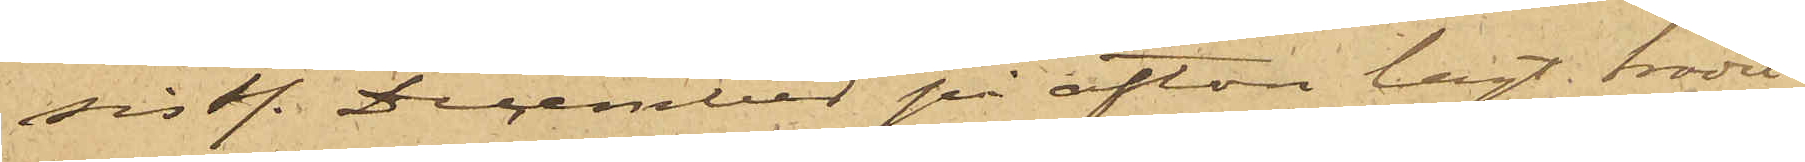sist. December på afton lagt brödet
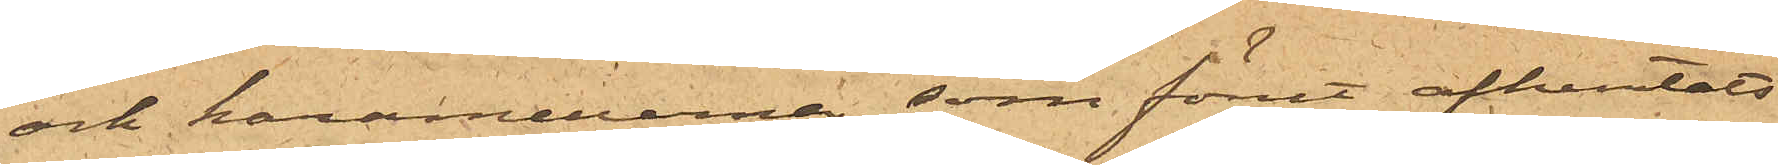och karamellerna, som förut afhemtats
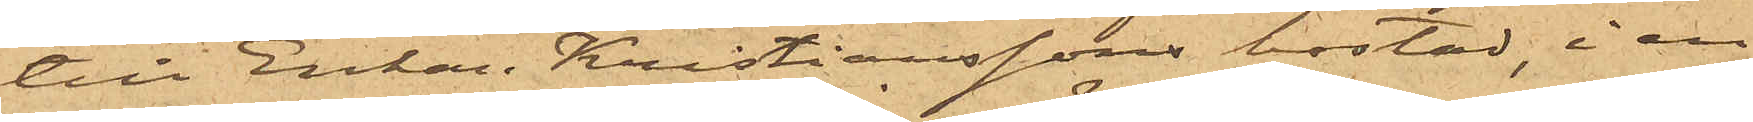till Enkan Kristianssons bostad, i en
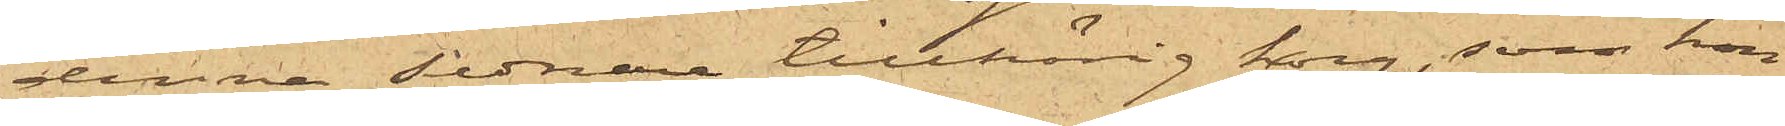denna sednare tillhörig korg, som hon
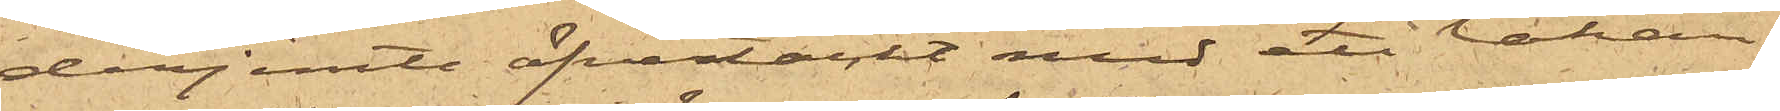derjemte öfvertäckt med ett lakan,
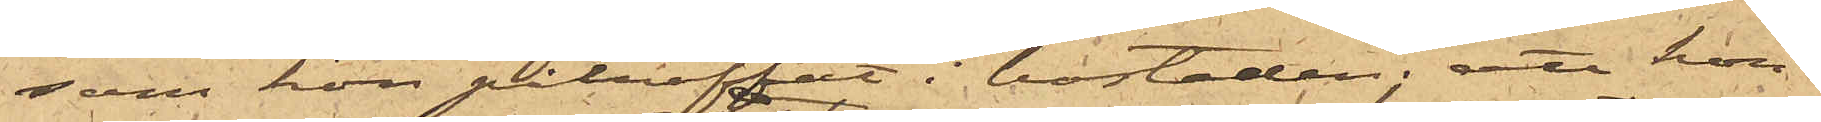som hon påträffat i bostaden; att hon
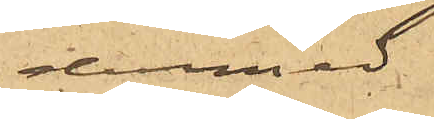dermed
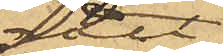gått
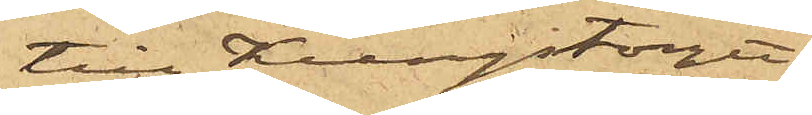till Kungstorget
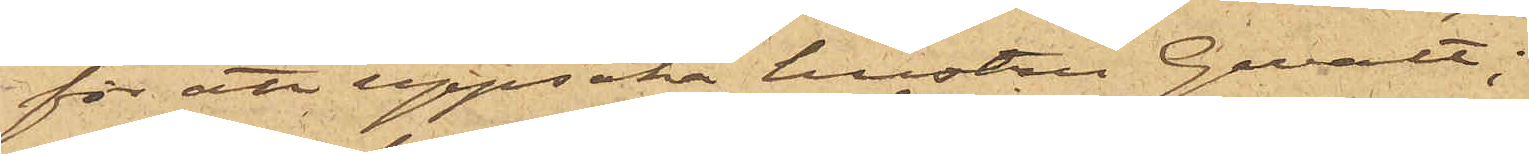för att uppsöka hustru Gevalt;
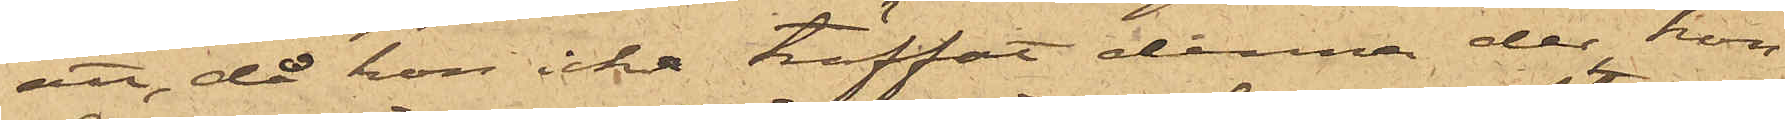att, då hon icke träffat denna der, hon
